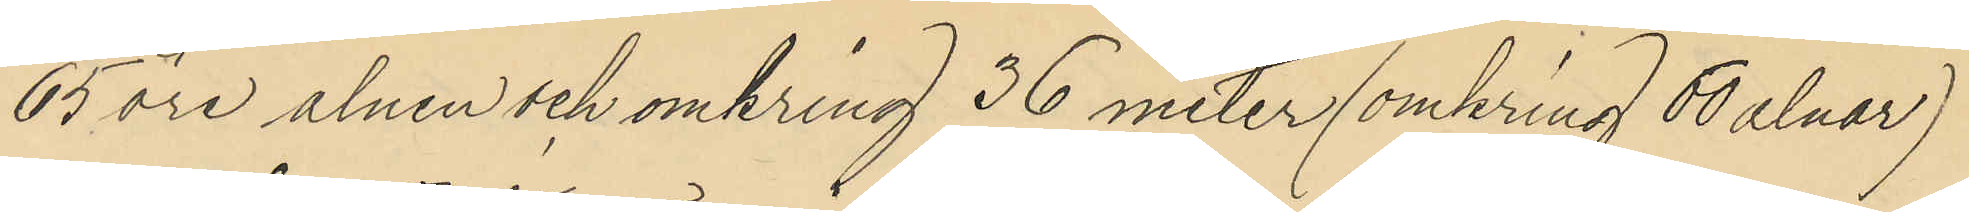65 öre alnen och omkring 36 meter (omkring 60 alnar)
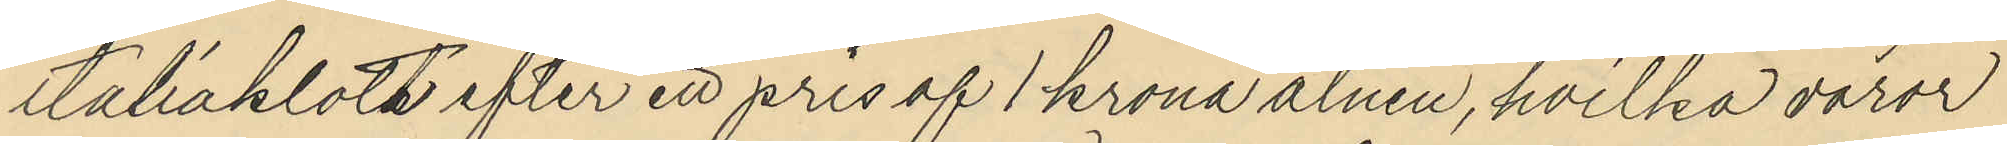italiakloth efter ett pris af 1 krona alnen, hvilka varor
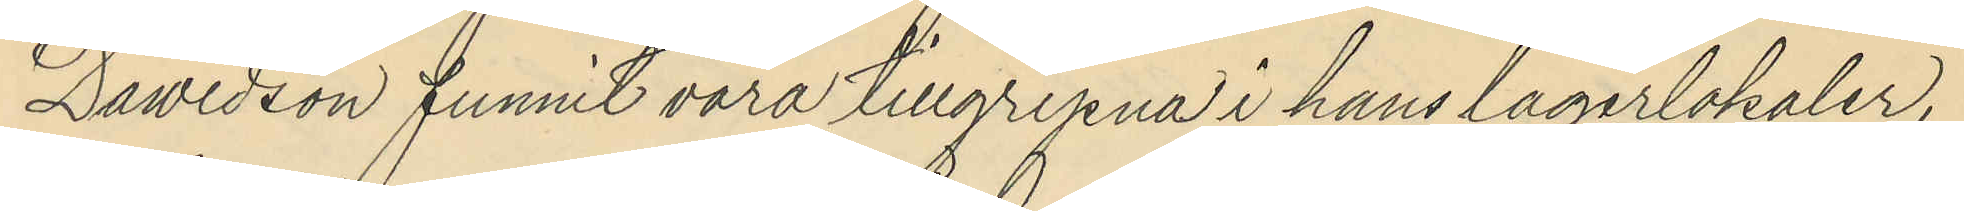Dawidson funnit vara tillgripna i hans lagerlokaler,
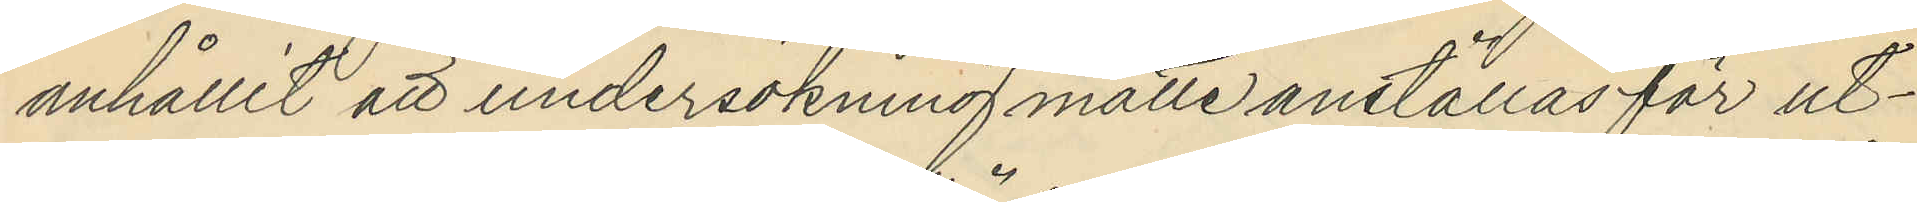anhållit att undersökning måtte anställas för ut¬
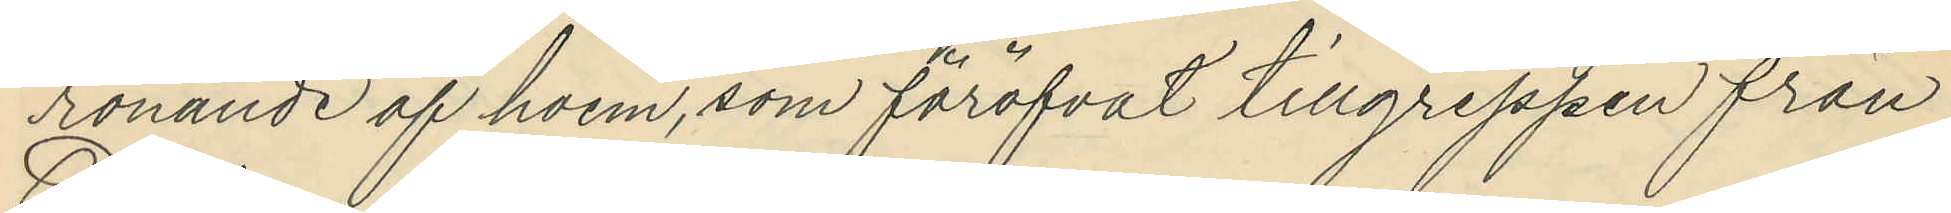rönande af hvem, som föröfvat tillgreppen från
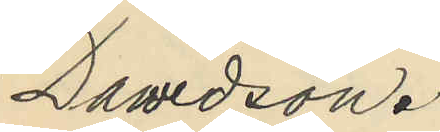Dawidson.
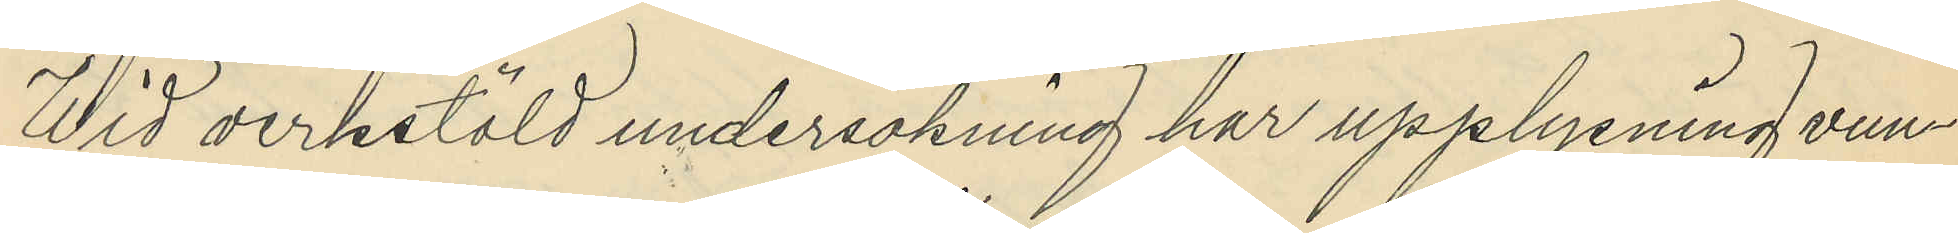Wid verkstäld undersökning har upplysning vun¬
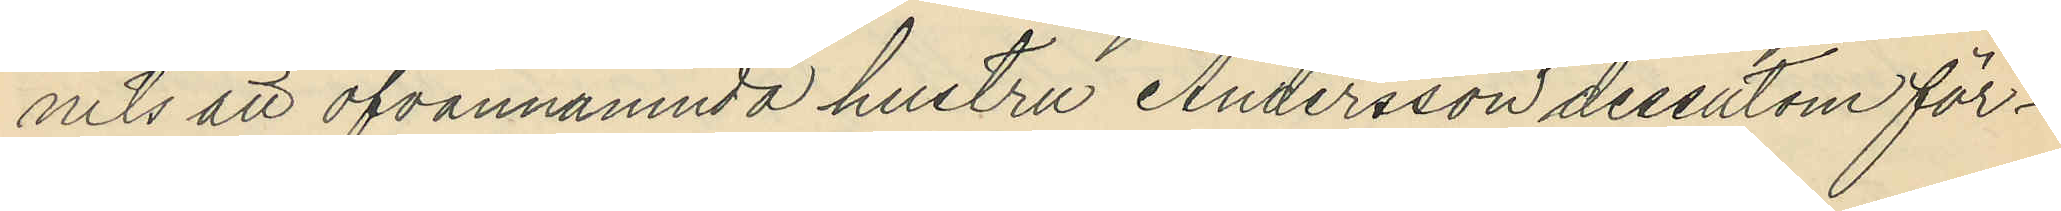nits att ofvannämnda hustru Andersson dessutom för¬
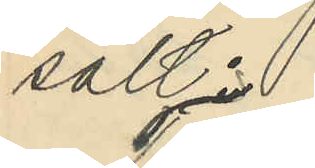sålt:
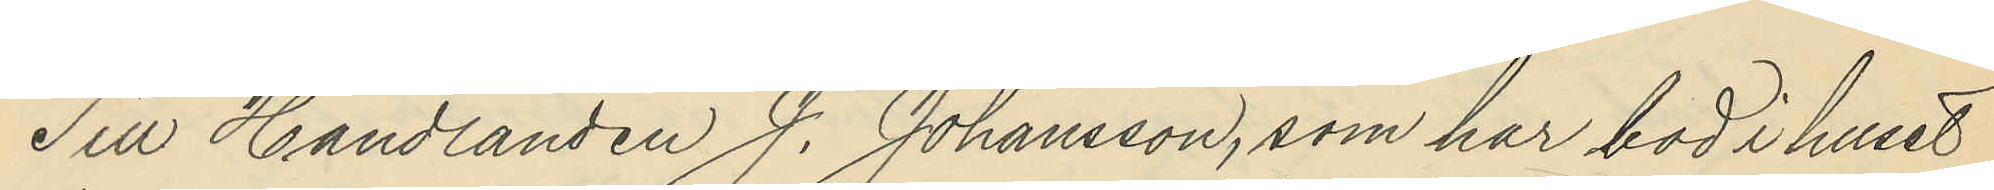Till Handlanden J. Johansson, som har bod i huset
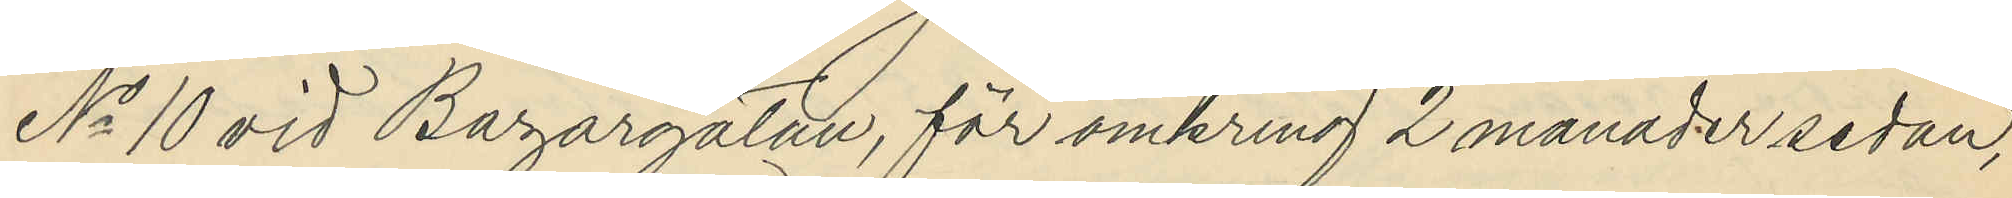No 10 vid Bazargatan, för omkring 2 månader sedan,
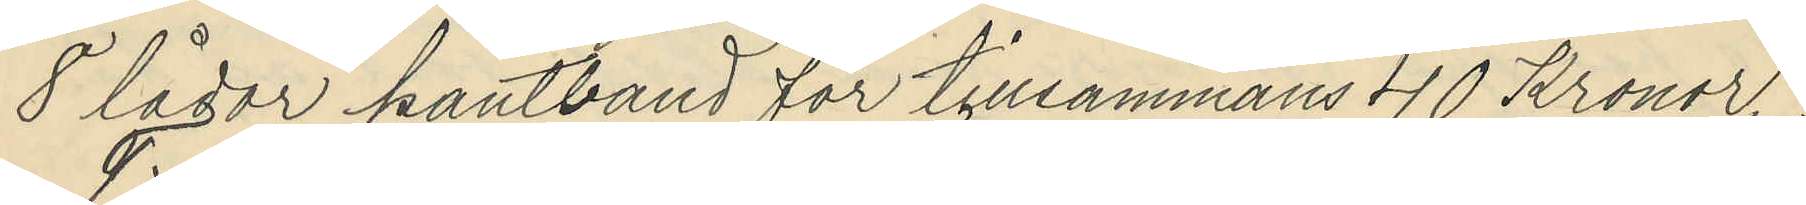8 lådor kantband för tillsammans 40 Kronor.
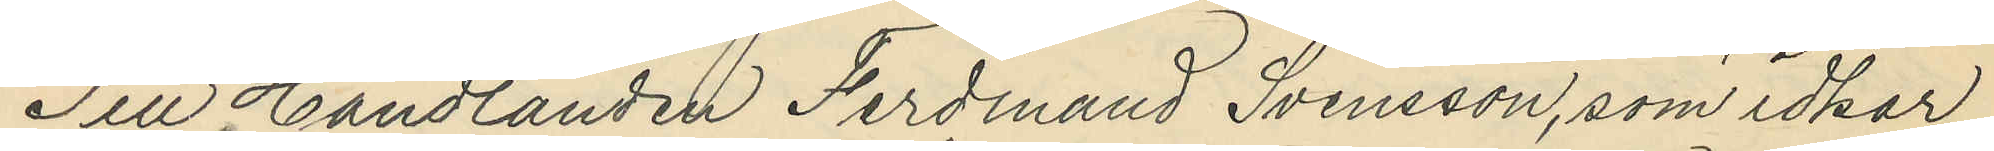Till Handlanden Ferdinand Svensson, som idkar
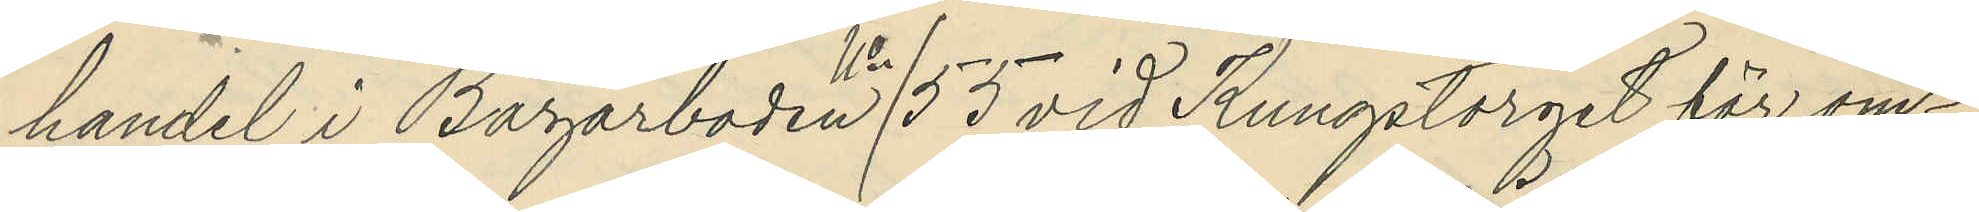handel i Bazarboden No 55 vid Kungstorget för om¬
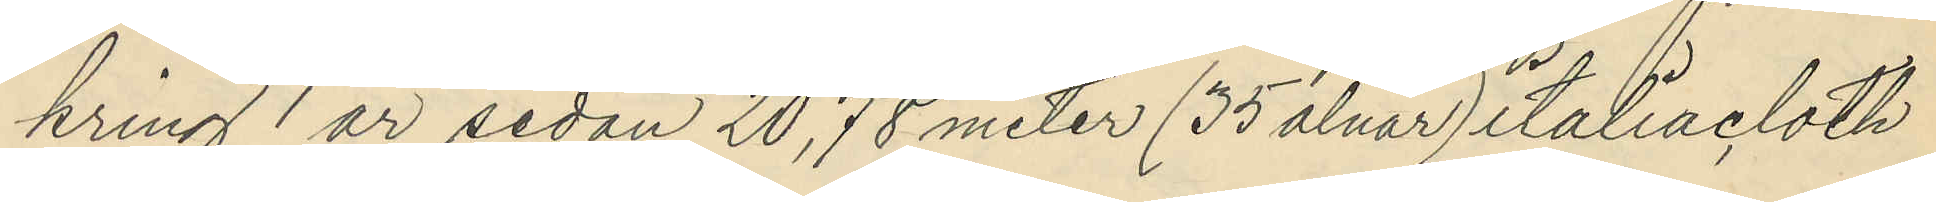kring 1 år sedan 20,78 meter (35 alnar) italiacloth
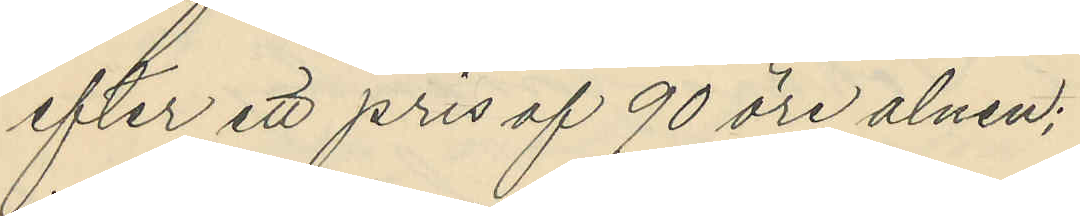efter ett pris af 90 öre alnen;
